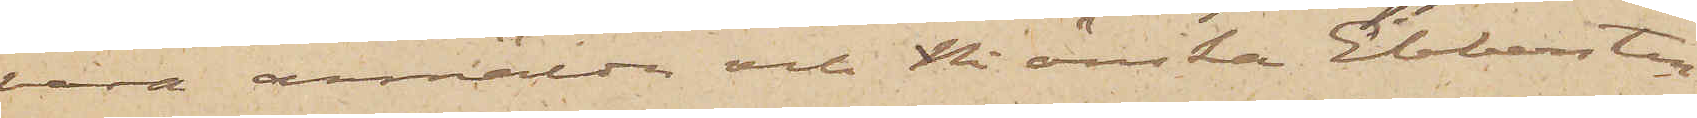vara anmälda och Ni önskar Ebbersten
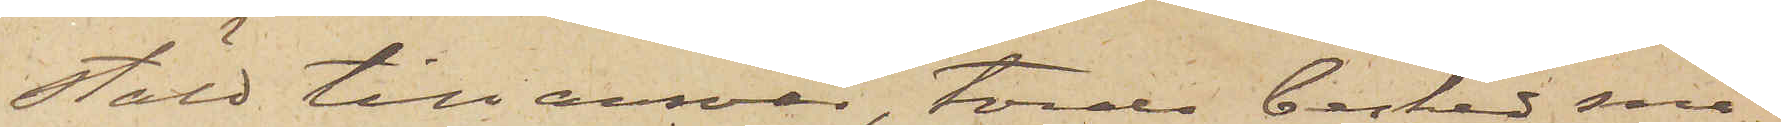stäld till ansvar, torde besked sna¬
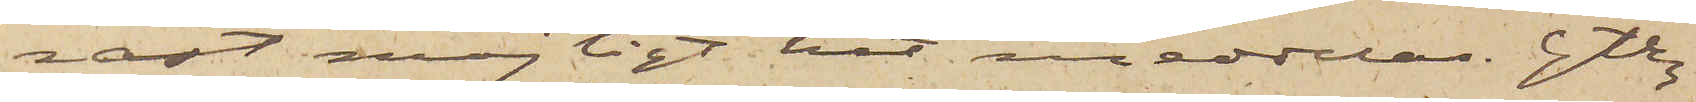rast möjligt hit meddelas. Gtbg
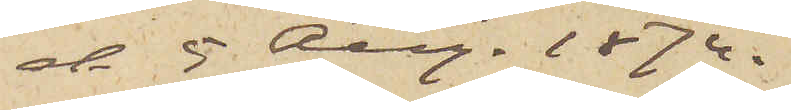d 5 Aug. 1874.
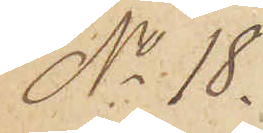No 18.
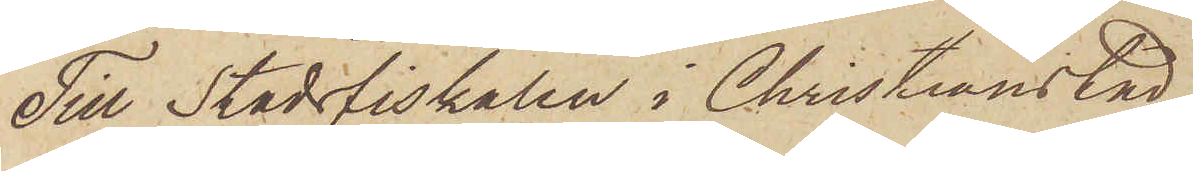Till Stadsfiskalen i Christianstad.
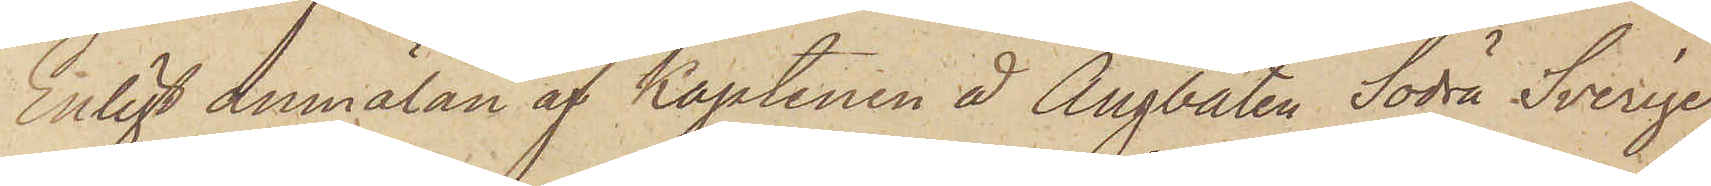Enligt anmälan af Kaptenen å Ångbåten Södra Sverige,
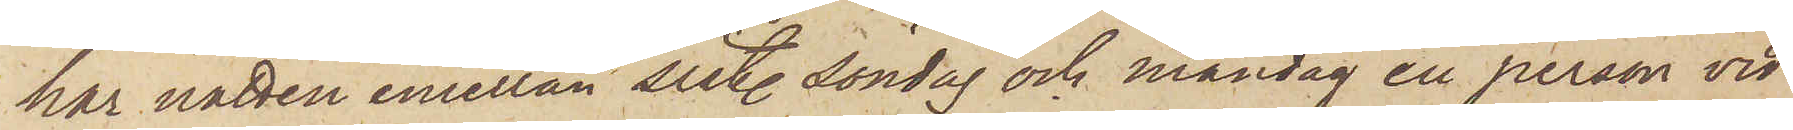har natten emellan sist. Söndag och Måndag en person vid
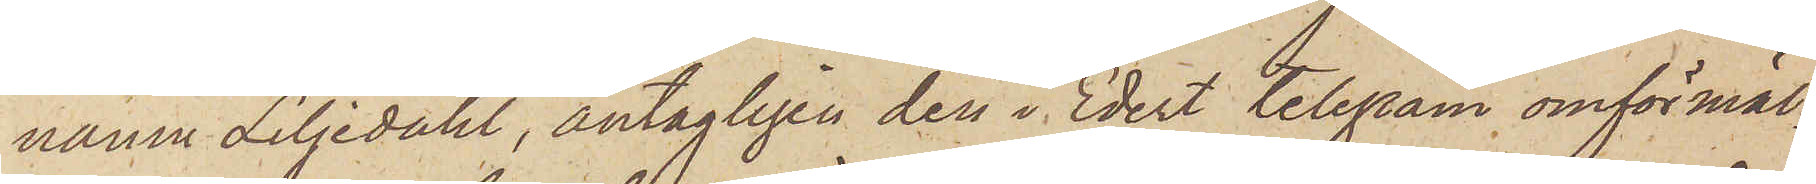namn Liljedahl, antagligen den i Edert telegram omförmäl¬
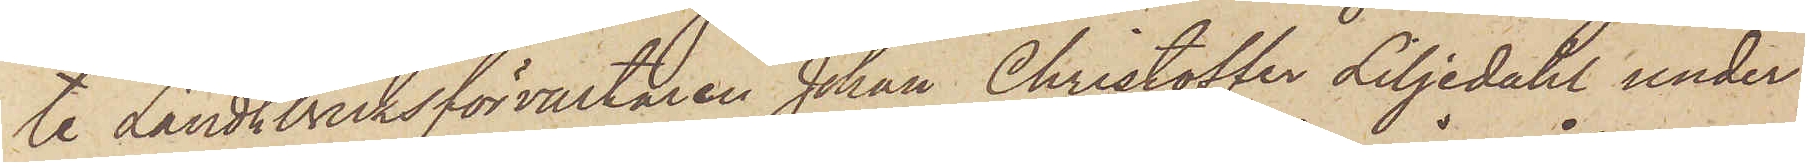te Landtbruksförvaltaren Johan Christoffer Liljedahl under
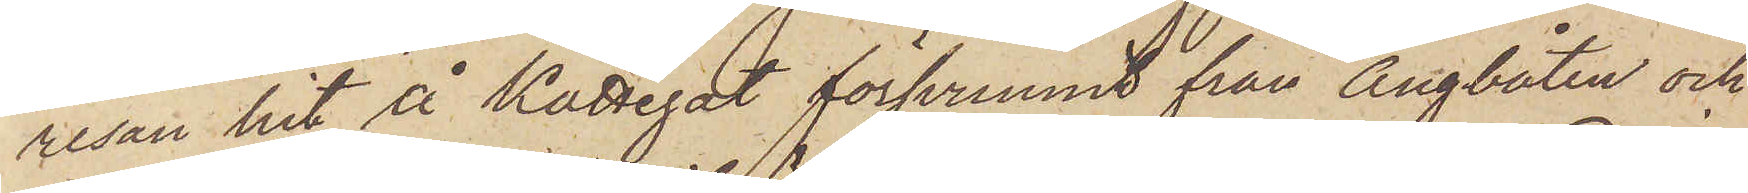resan hit å Kattegat försvunnit från Ångbåten och
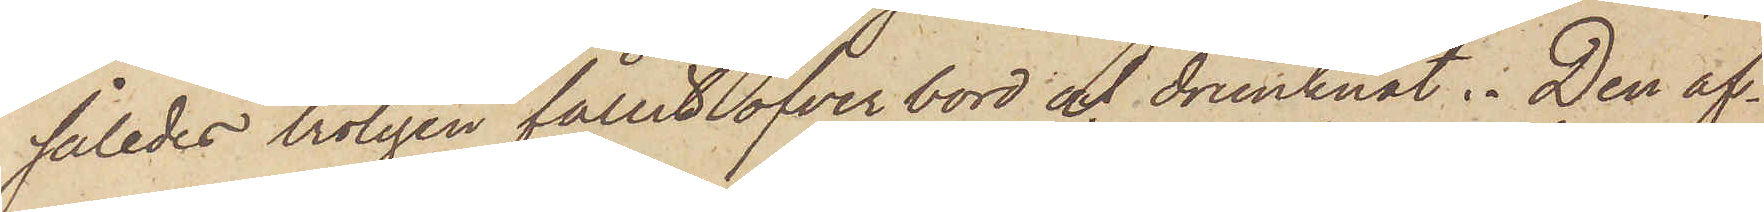således troligen fallit öfver bord och drunknat. Den af¬
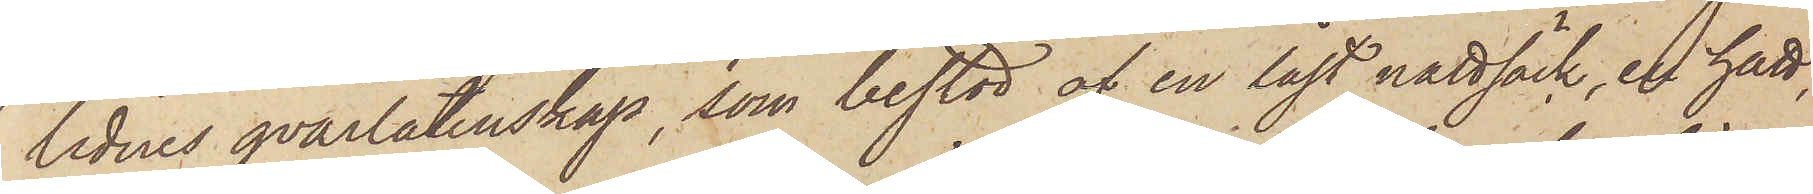lidnes qvarlåtenskap, som bestod af en låst nattsäck, en hatt,
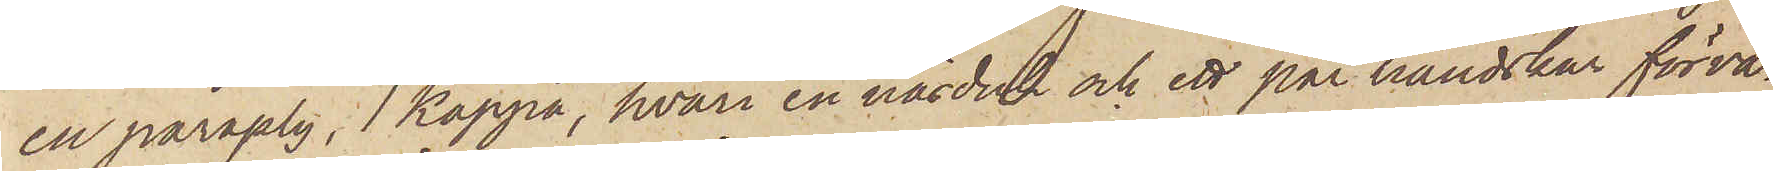en paraply, 1 kappa, hvari en näsduk och ett par handskar förva¬
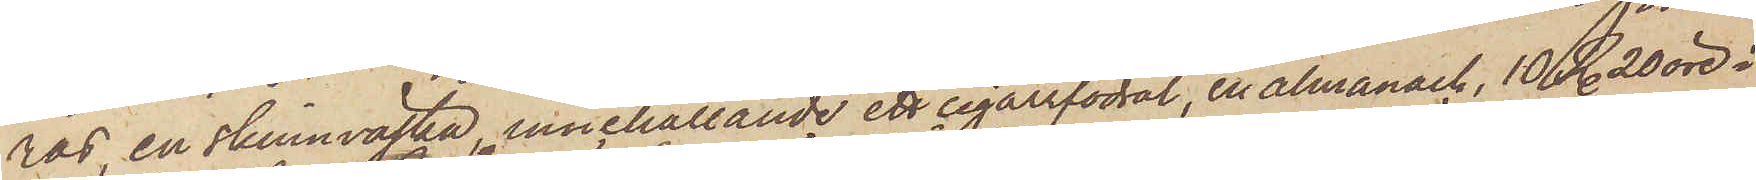ras, en skinnväska, innehållande ett cigarrfodral, en almanack, 10 R. 20 öre i
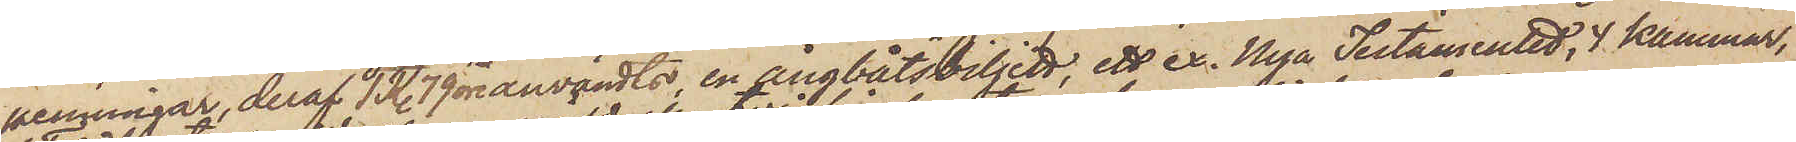penningar, deraf 1R. 79 öre användts, en ångbåtsbiljett, ett ex. Nya Testamentet, 4 kammar,
